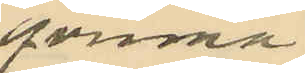qvinna
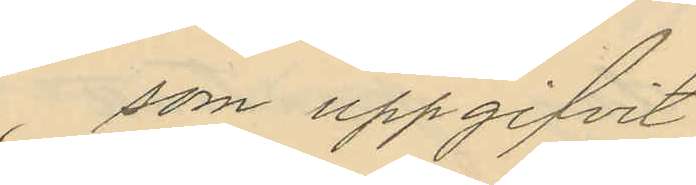 som uppgifvit
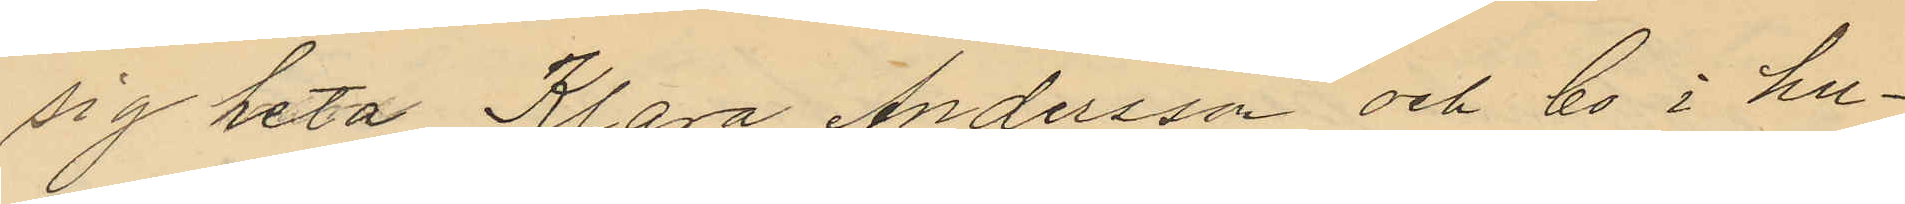sig heta Klara Andersson och bo i hu¬
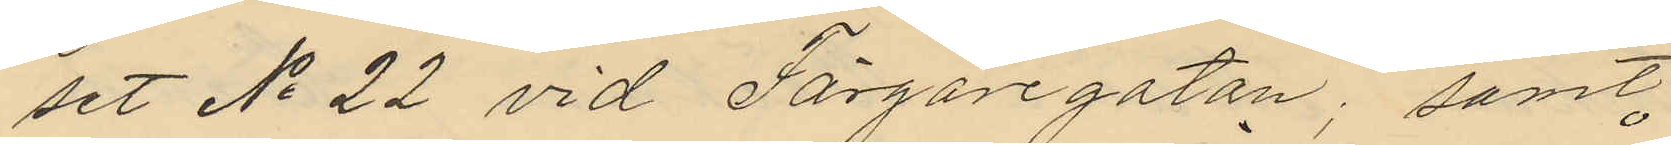set No 22 vid Färgaregatan; samt
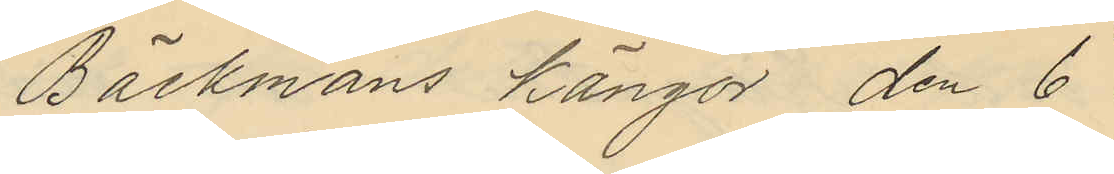Bäckmans kängor den 6
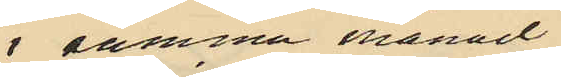i samma månad
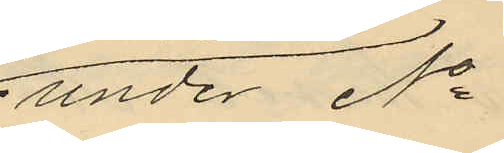under No
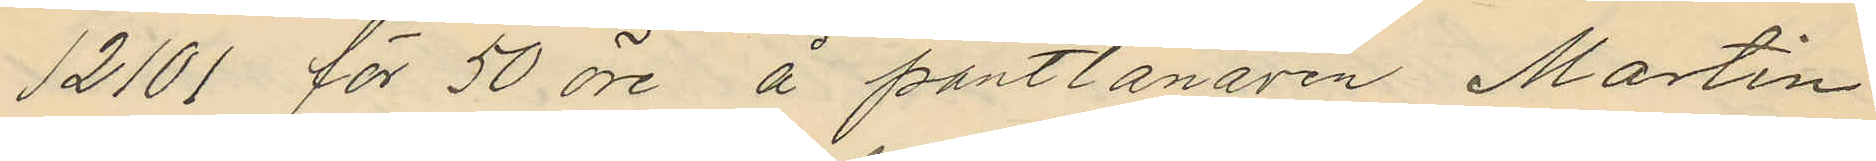12101 för 50 öre å pantlånaren Martin
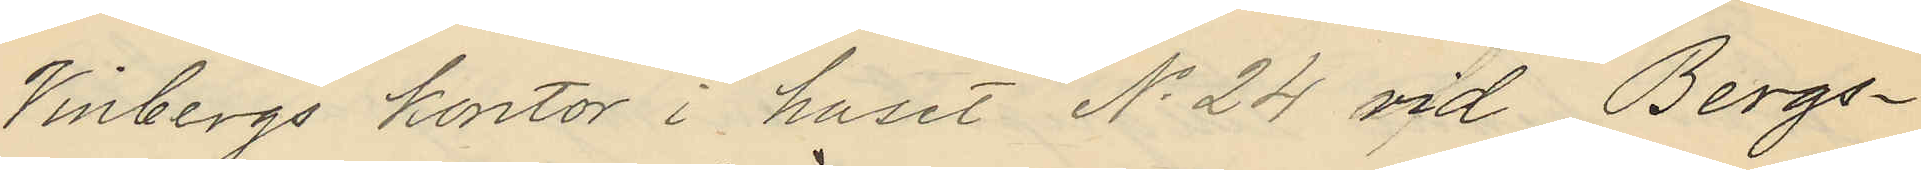Vinbergs kontor i huset No 24 vid Bergs¬
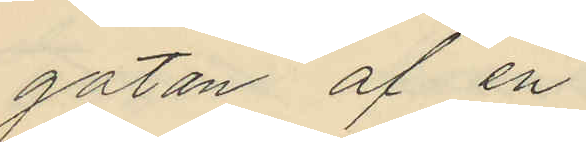gatan af en
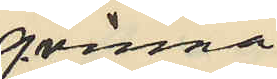qvinna
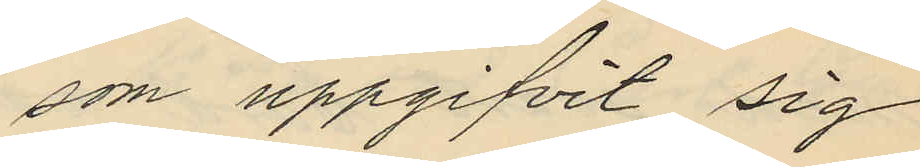som uppgifvit sig
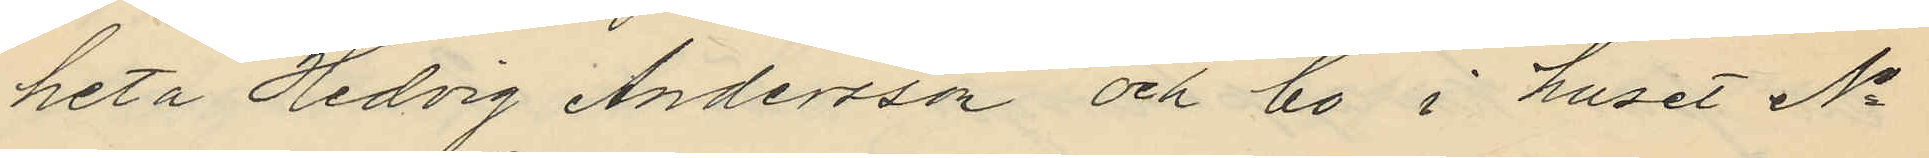heta Hedvig Andersson och bo i huset No
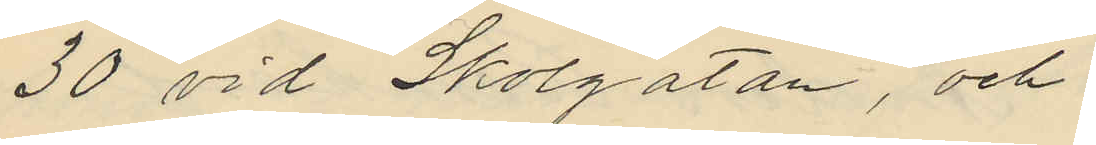30 vid Skolgatan, och
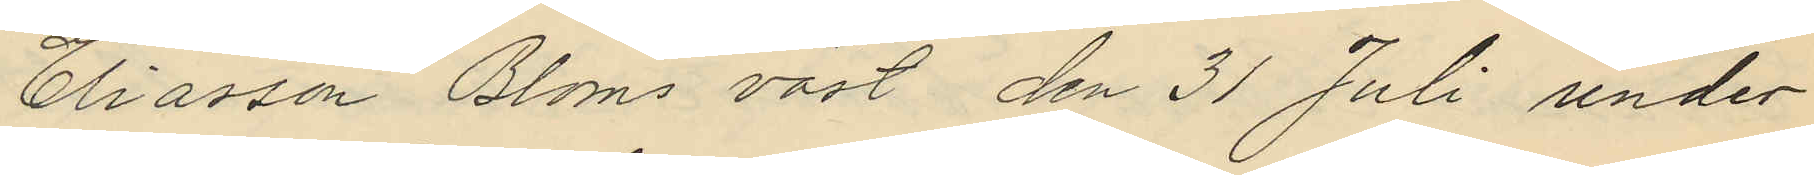Eliasson Bloms väst den 31 Juli under
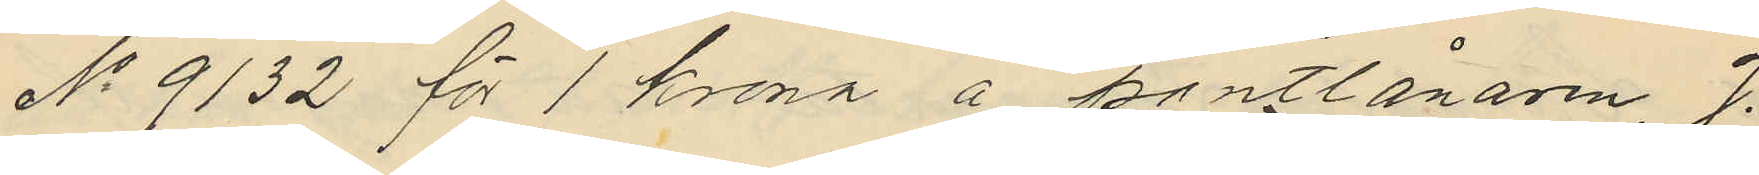No 9132 för 1 krona å pantlånaren J.
